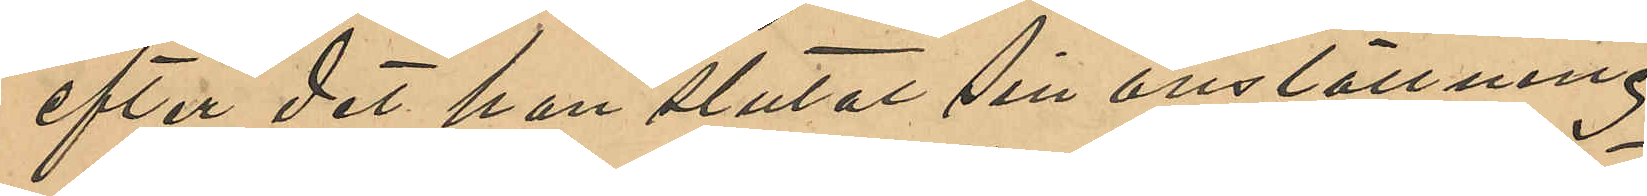efter det han slutat sin anställning
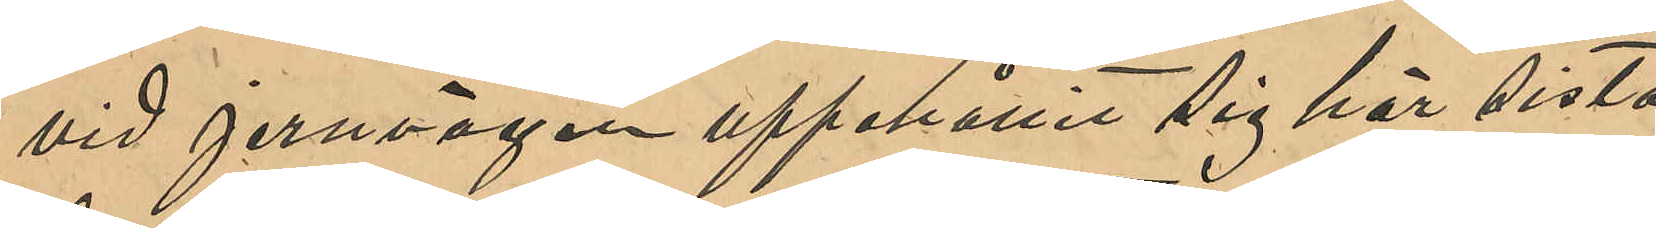vid Jernvägen uppehållit sig här sista
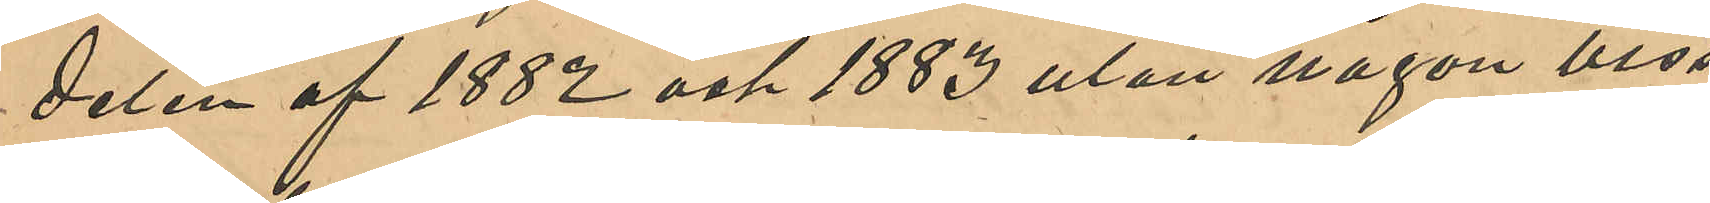delen af 1882 och 1883 utan någon viss
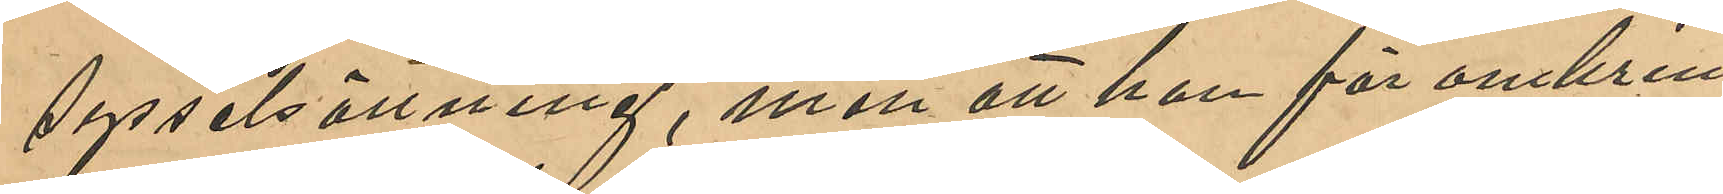sysselsättning, men att han för omkring
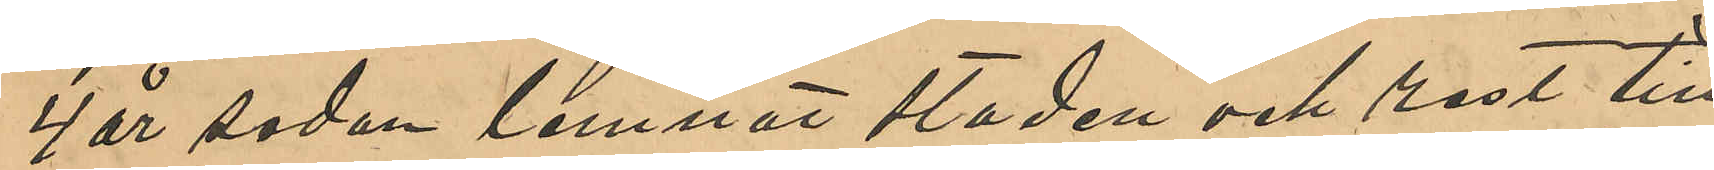4 år sedan lemnat staden och rest till
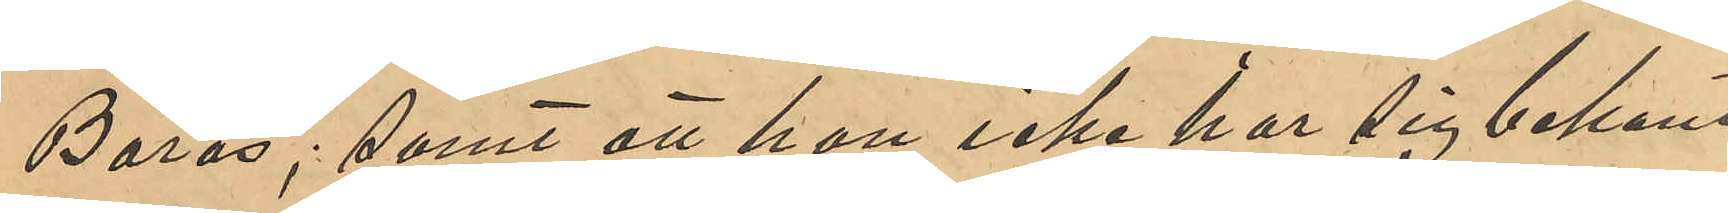Borås; samt att han icke har sig bekant
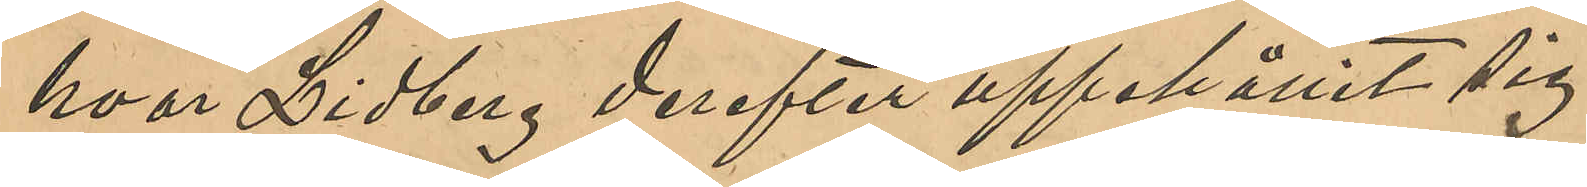hvar Lidberg derefter uppehållit sig
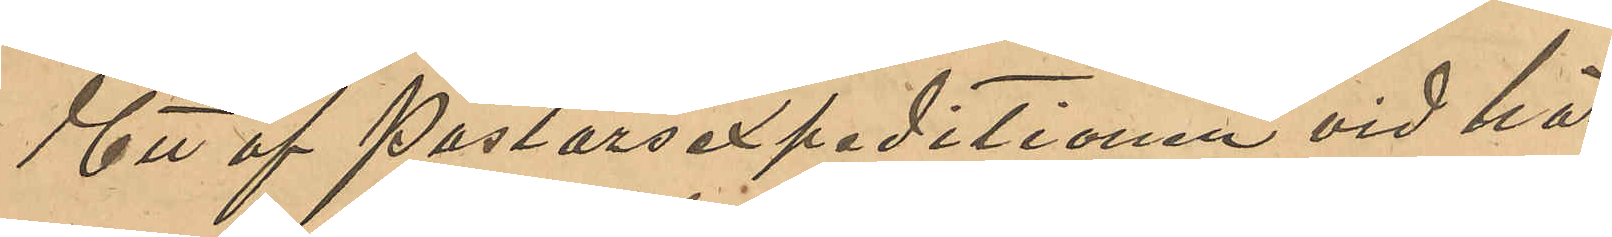Ett af Pastorsexpeditionen vid här¬
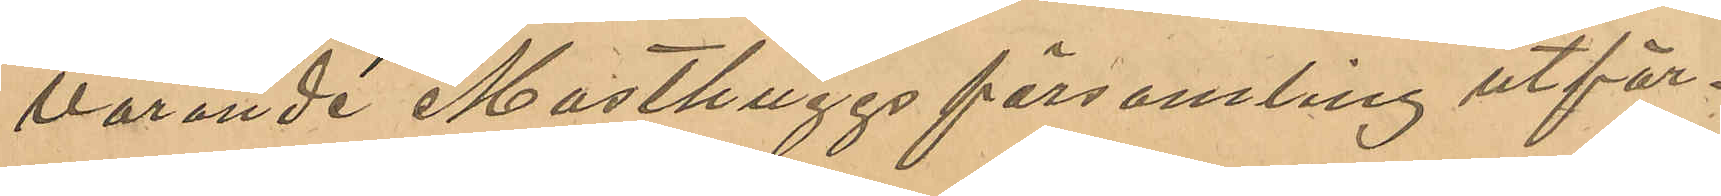varande Masthuggs församling utfär¬
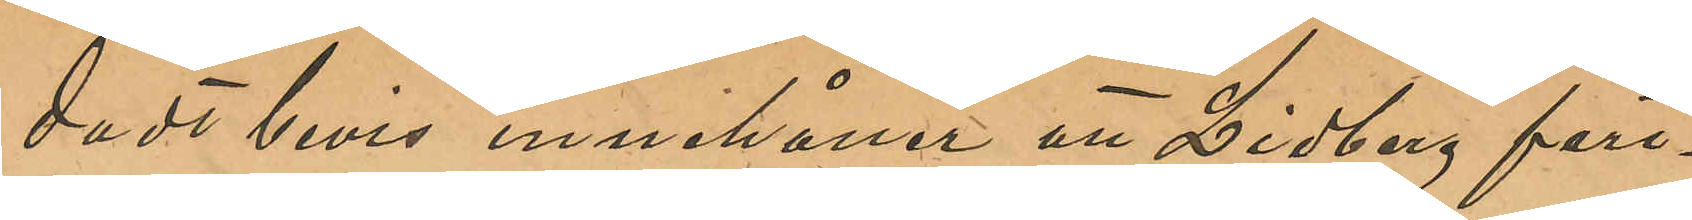dadt bevis innehåller att Lidberg fort¬
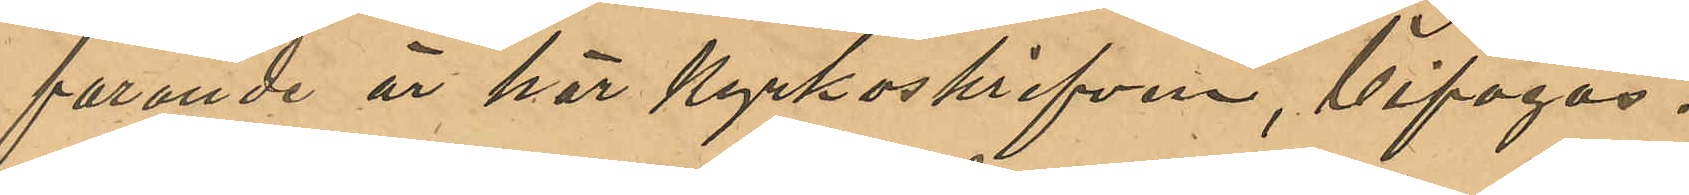farande är här Kyrkoskrifven bifogad.
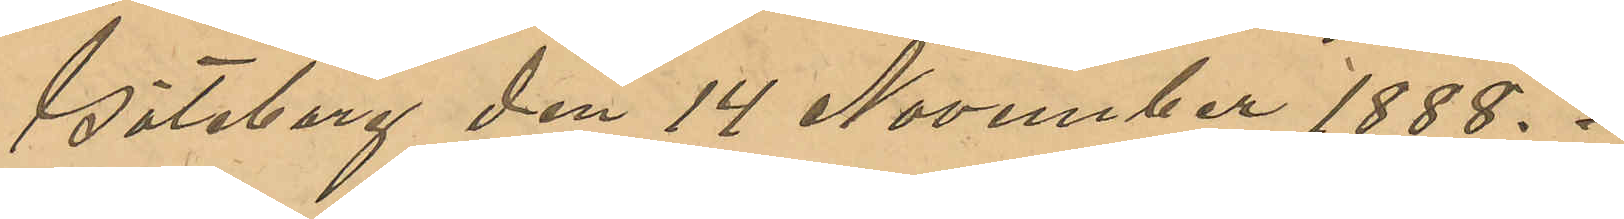Göteborg den 14 November 1888.
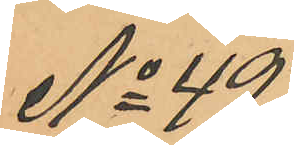No 49
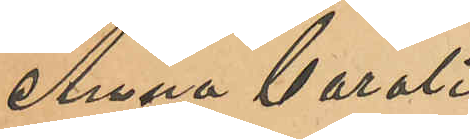Anna Caroli¬
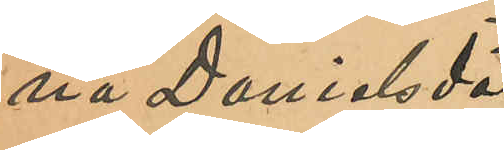na Danielsdot¬
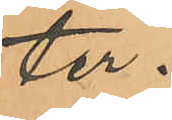ter.
